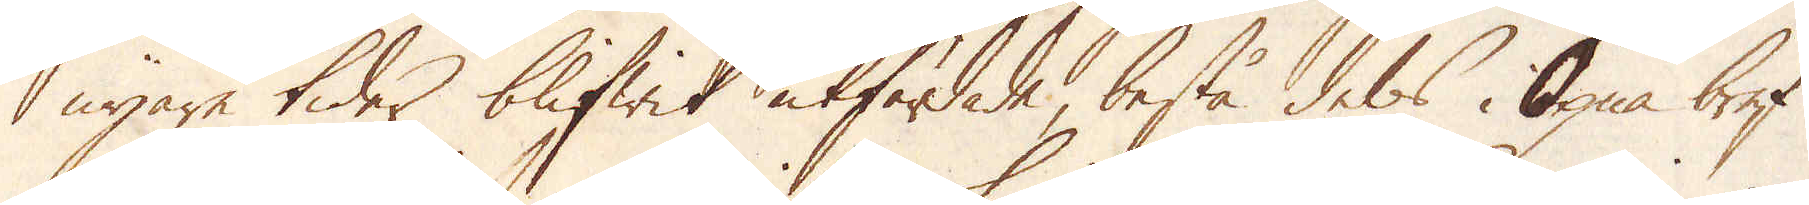nyare tider blifwit utfördade, bestå dels i Öpna bref
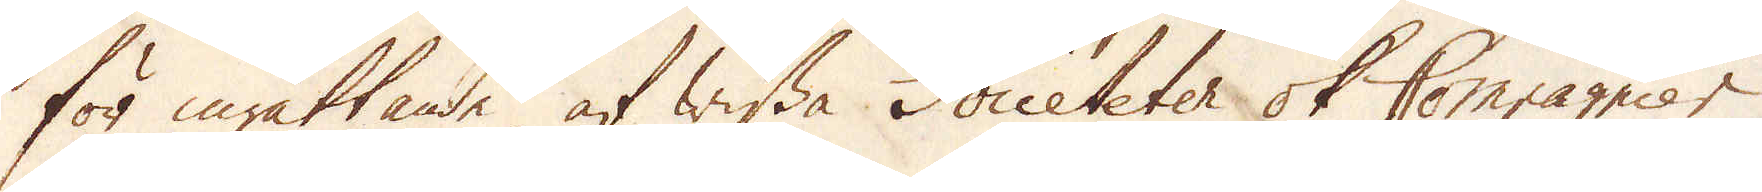för inrättande af wissa Societeter ok Compagnier,
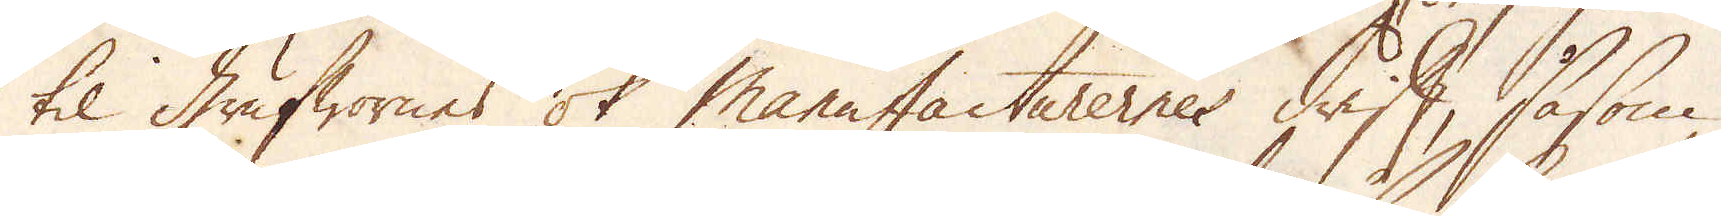til grufwornes ok manufacturernes drift, såsom
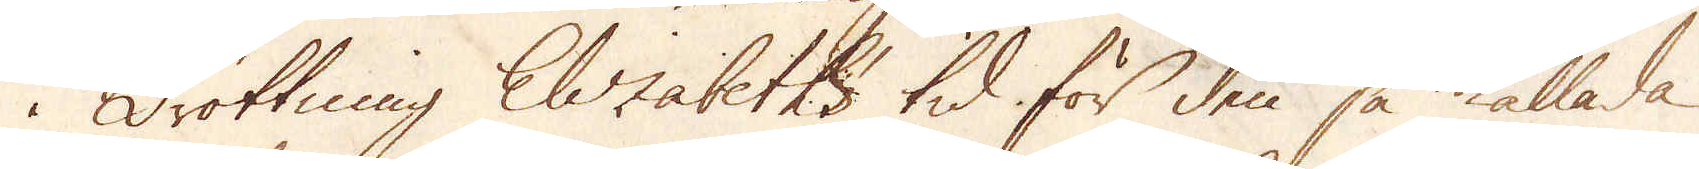i Drottning Elizabeths tid för den så kallade
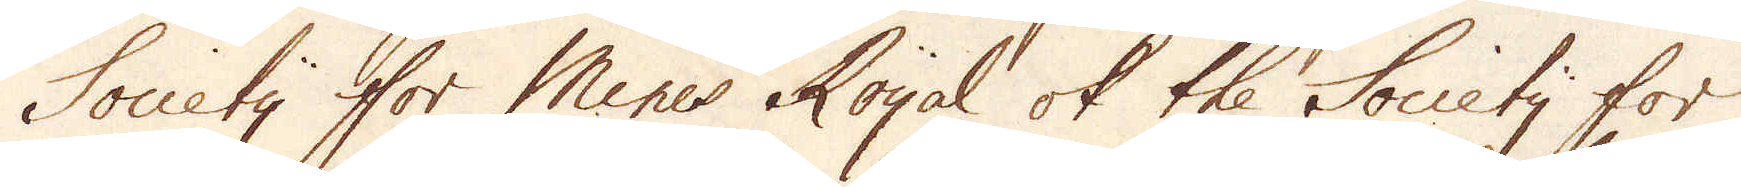Society för Mines Royal ok the Society for
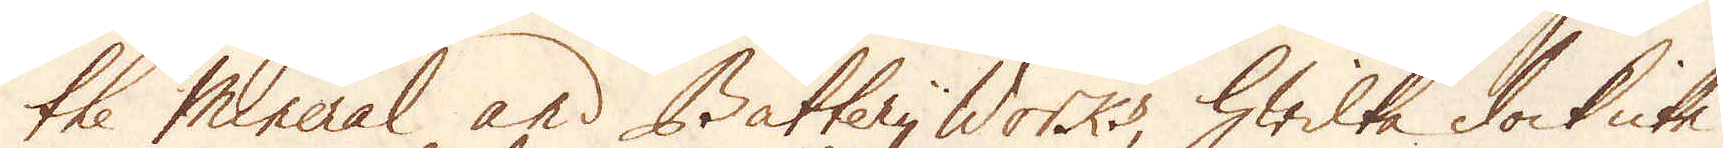the Mineral and Battery Works, hwilka dock icke
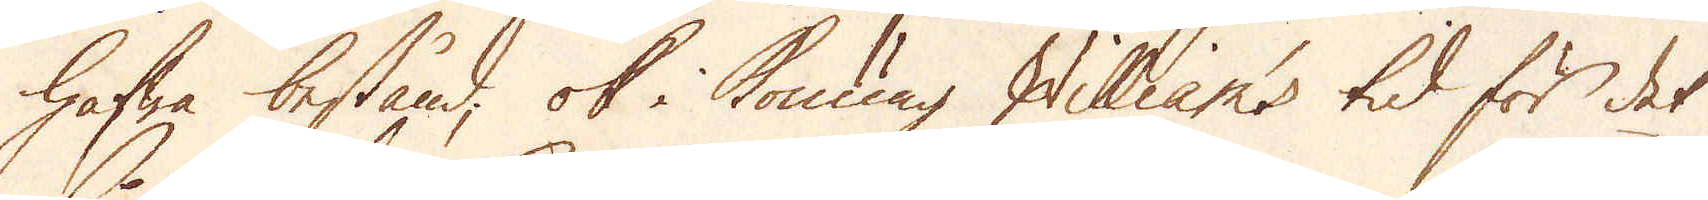hafwa bestånd, ok i Konung Williams tid för det
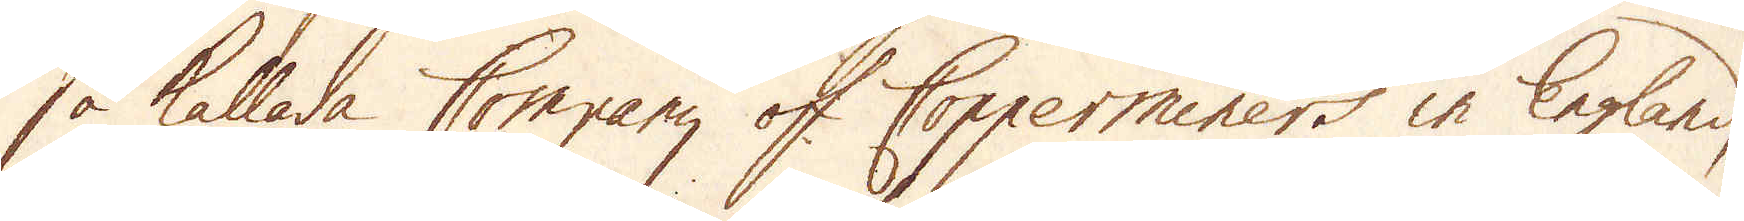så kallade Company of Copperminers in England,
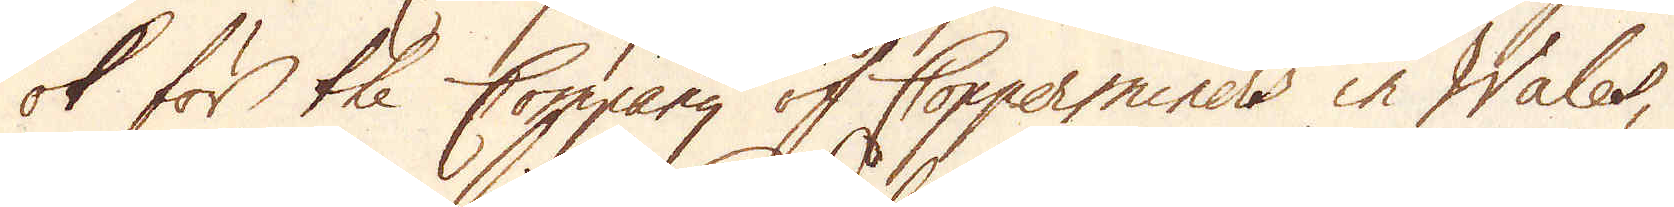ok för the Company of Copperminers in Wales,
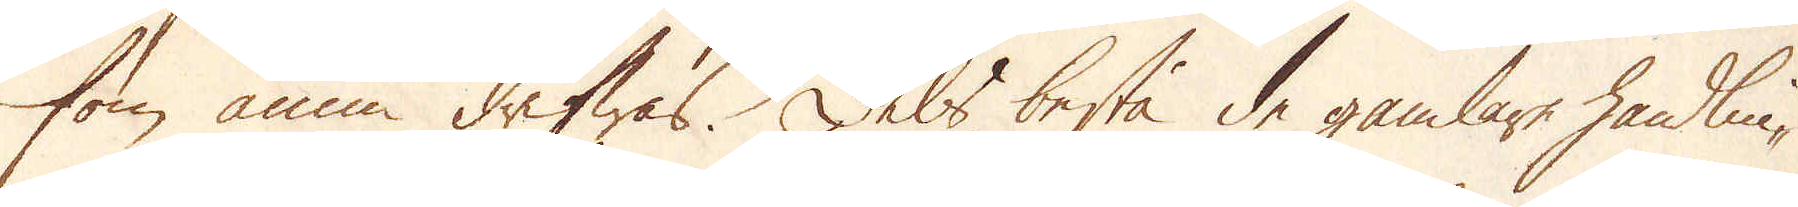som ännu drifwas. Dels bestå de gamlare handlin-
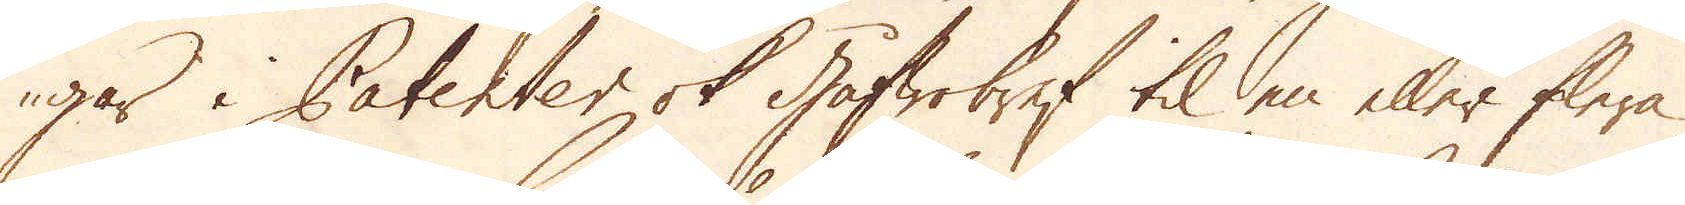gar i Patenter ok gåfwobref til en eller flera
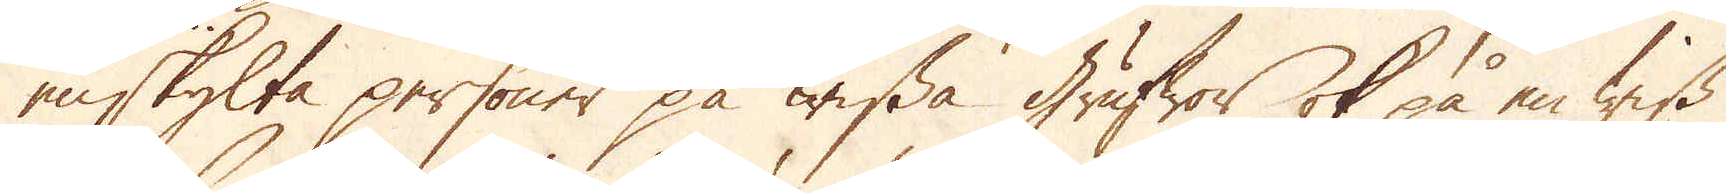enskylta personer på wissa grufwor ok på en wiss
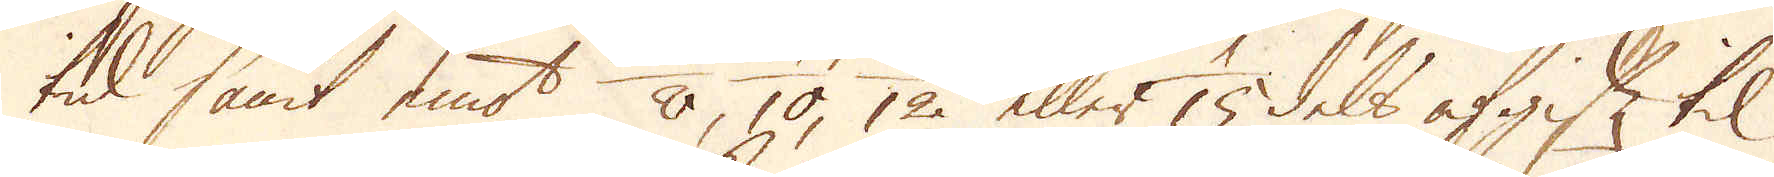tid samt emot 1/8, 1/10, 1/12 eller 1/15 dels afgift til
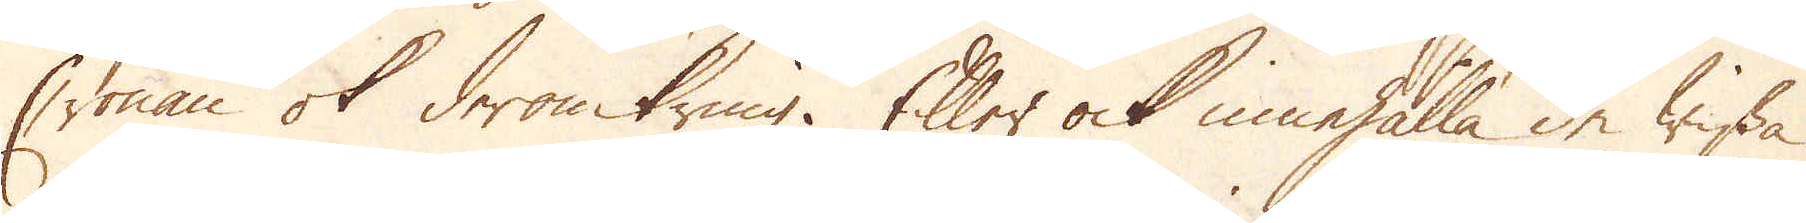Cronan ok deromkring. Eller ock innehålla de wissa
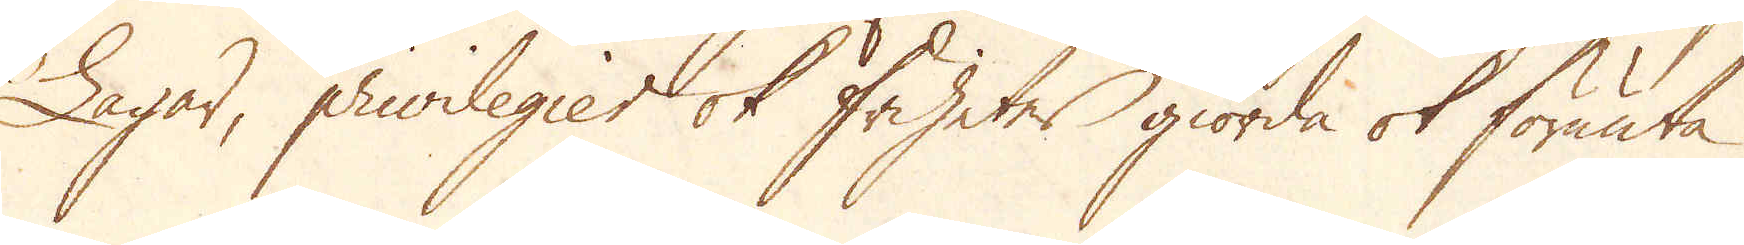Lagar, privilegier ok friheter giorda ok förunta
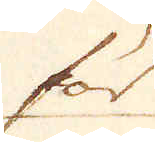för
